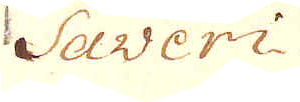Saveri:
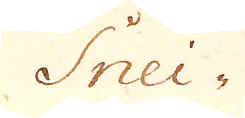Snei-
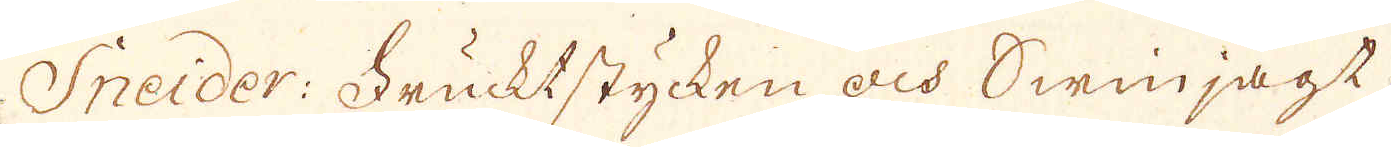Sneider: Frucktstycken och swinjagt.
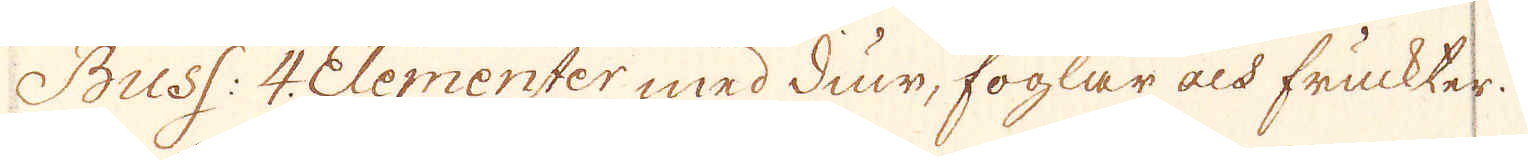Buss: 4. Elementer med diur, foglar och fruckter.
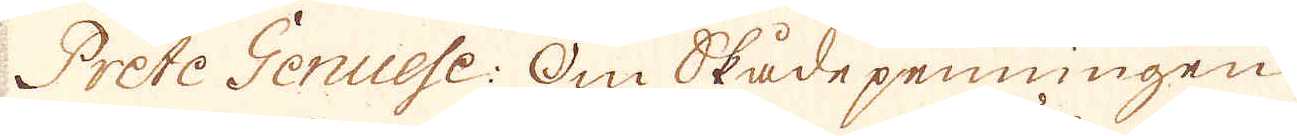Prete Genuese: Om Skådepenningen.
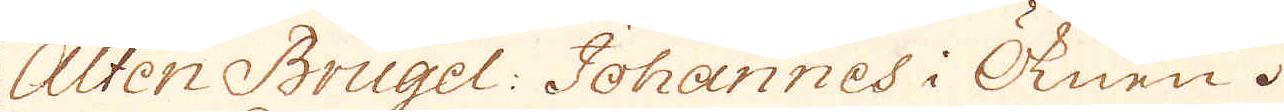Alten Brugel: Johannes i Öknen.
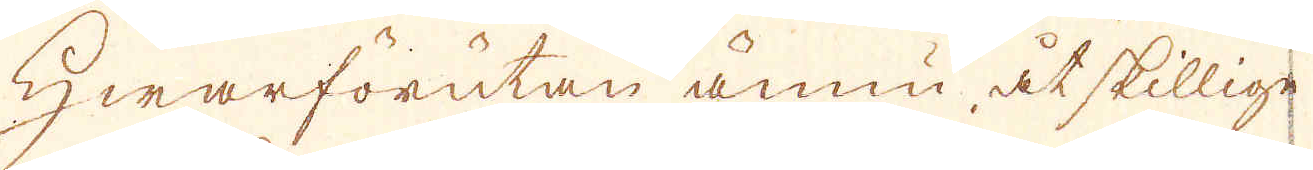Hwarförutan ännu åtskillige
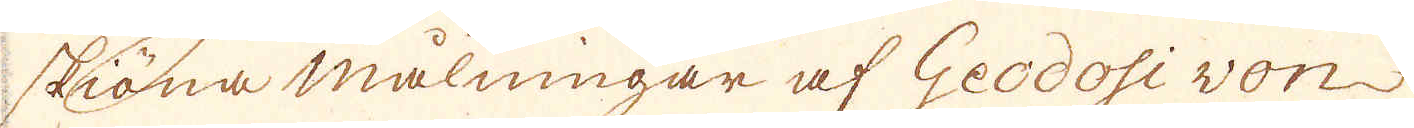skiöna målningar af Geodosi von
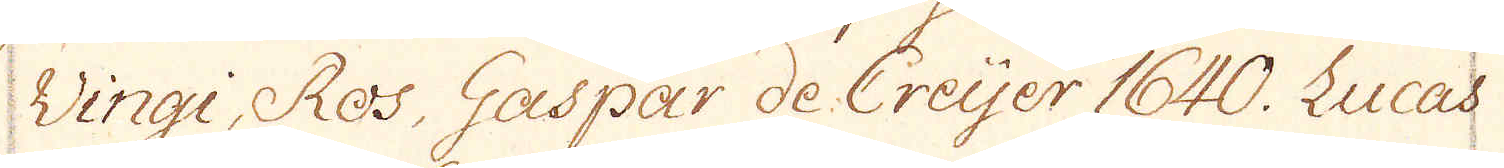Vingi, Ros, Gaspar de Creijer 1640. Lucas
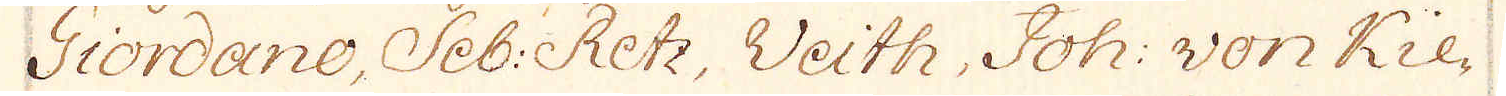Giordano, Seb: Retz, Veith, Joh: von Kie-
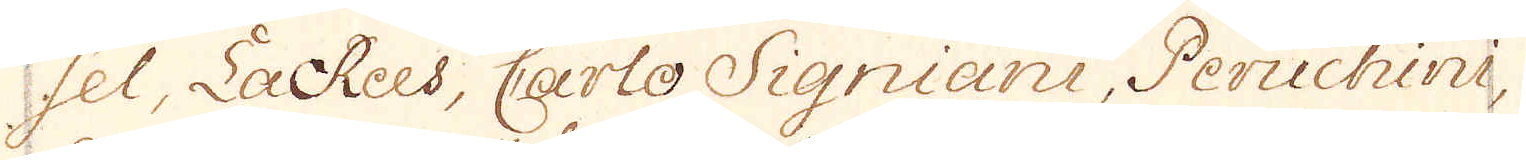sel, LaRees, Carlo Signiani, Peruchini,
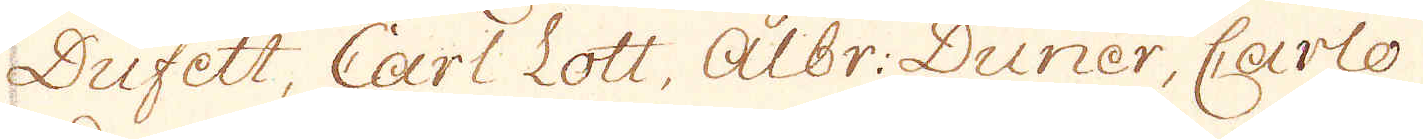Dufett, Carl Lott, Albr: Duner, Carlo
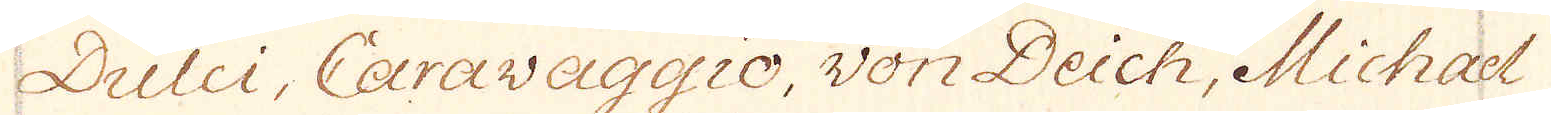Dulci, Caravaggio, von Deich, Michael
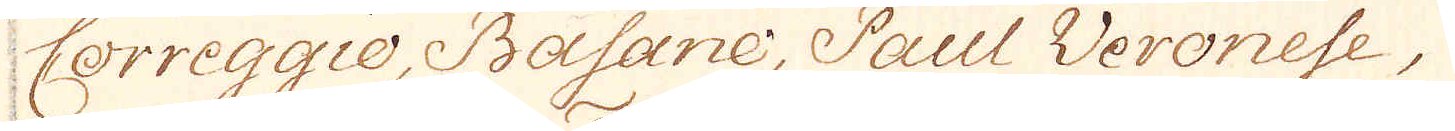Correggio, Basane, Paul Veronese,
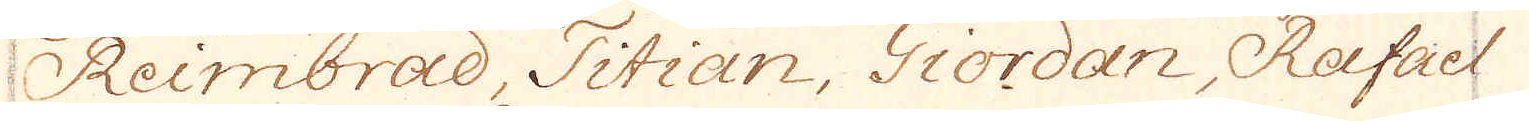Reimbrad, Titian, Giordan, Rafael
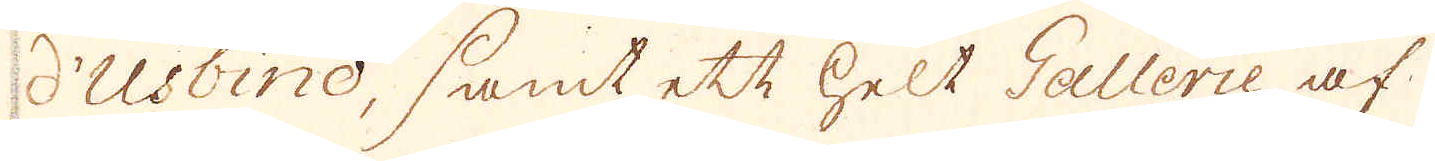d'Usbino, samt ett helt Gallerie af
